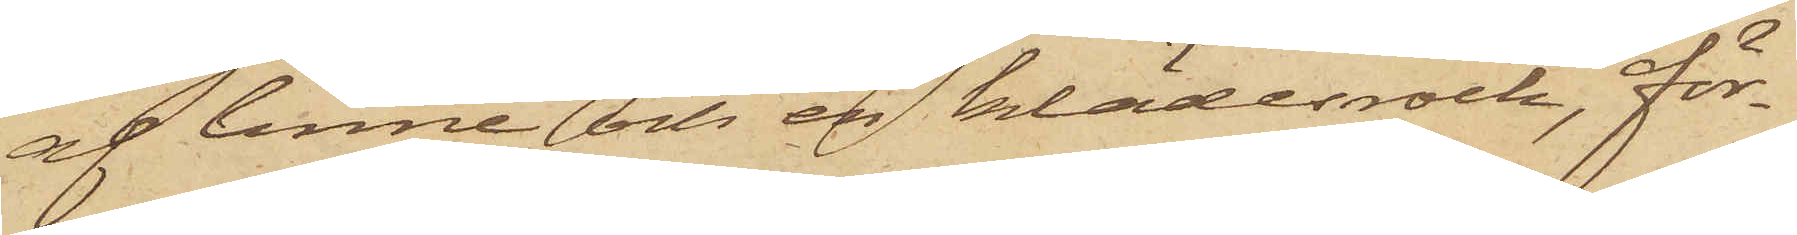af linne och en klädesrock, för¬
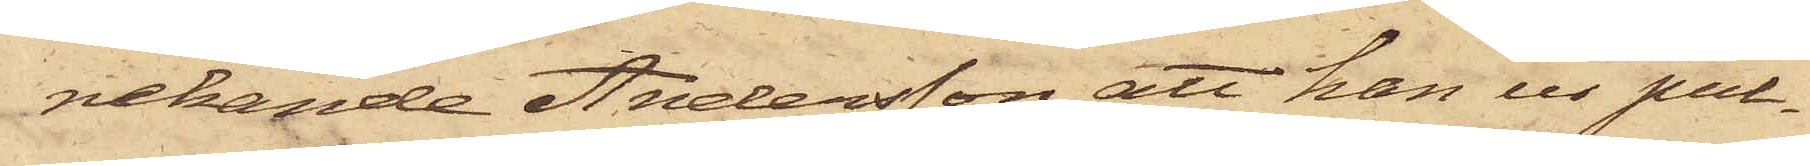nekande Andersson, att han ur pul¬
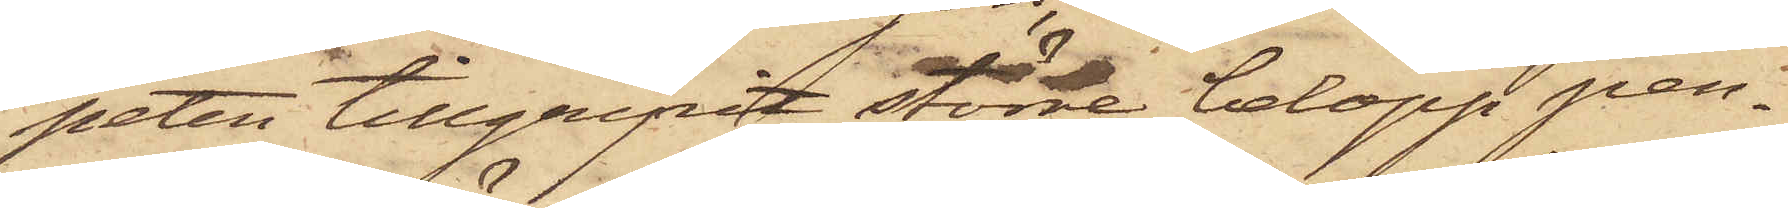peten tillgripit större belopp pen¬
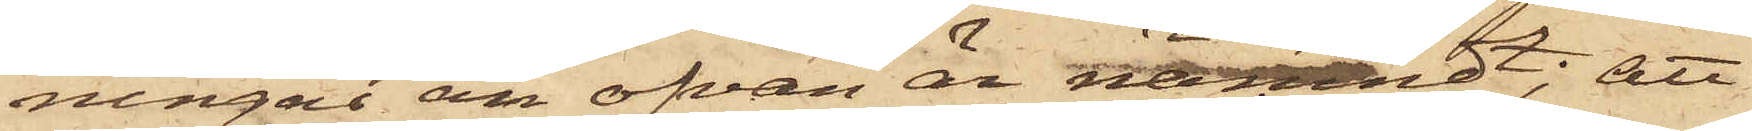ningar än ofvan är nämndt; att
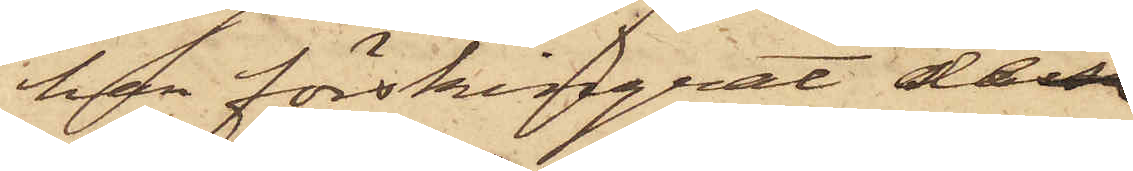han förskingrat dessa
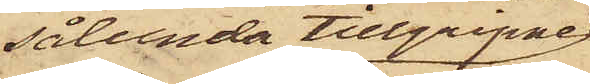sålunda tillgripne
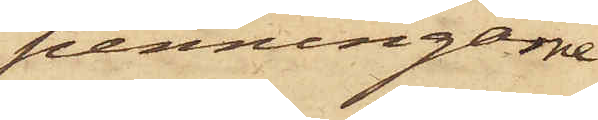penningarne
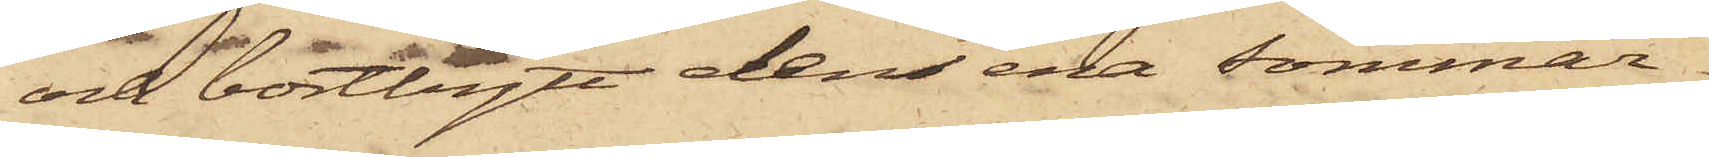och bortbytt den ena sommar¬
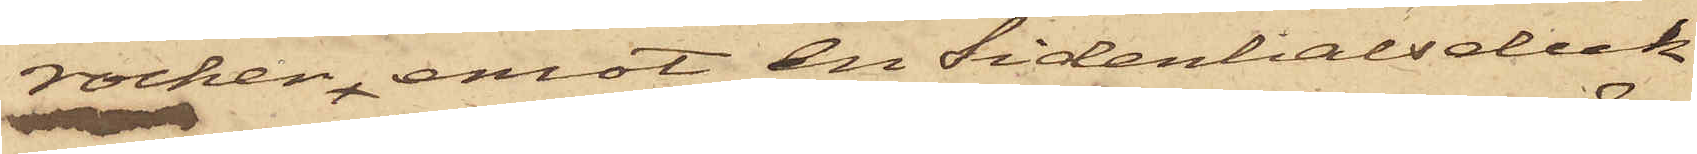rocken, emot en sidenhalsduk
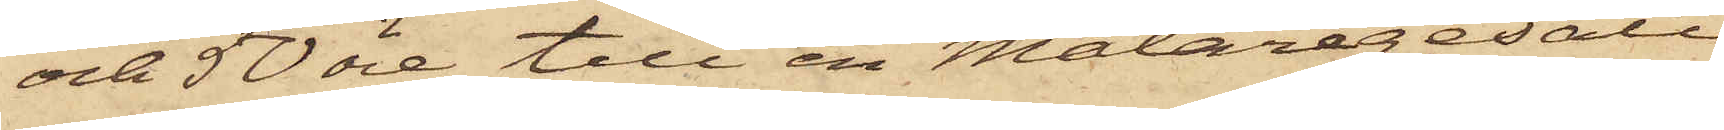och 50 öre till en Målaregesäll
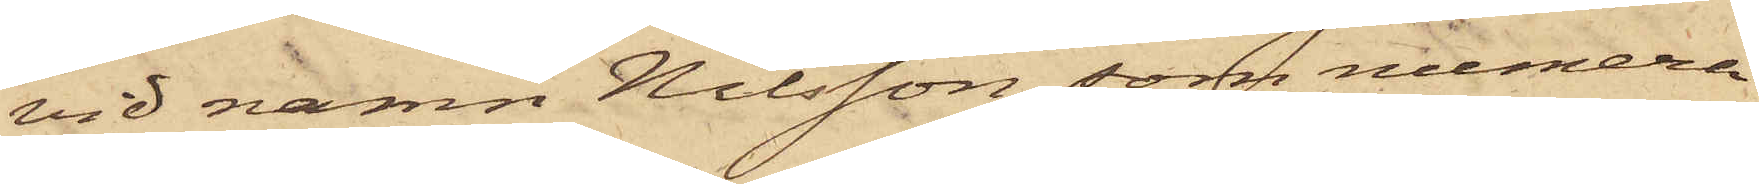vid namn Nilsson, som numera
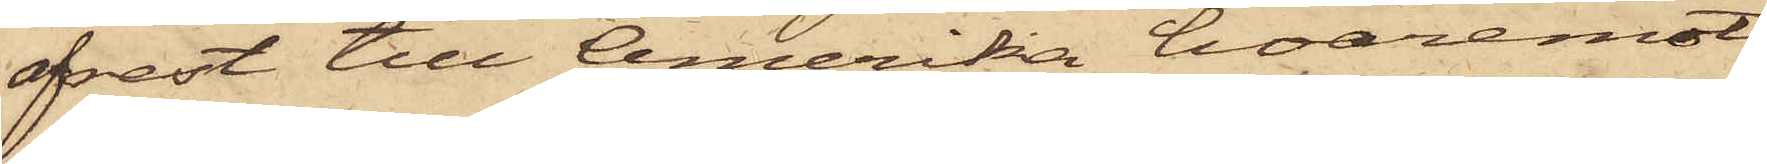afrest till Amerika, hvaremot
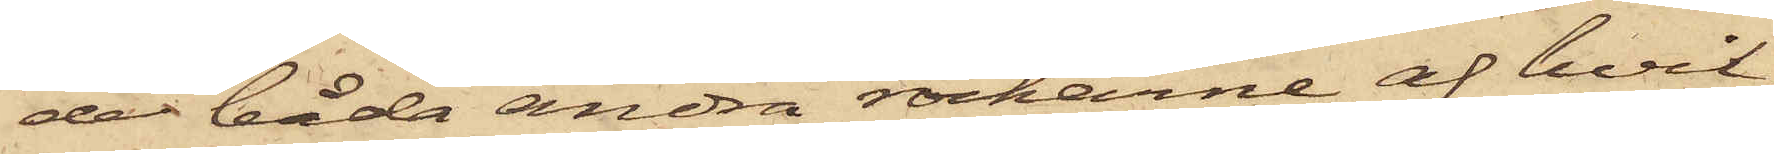de båda andra rockarne, af hvil¬
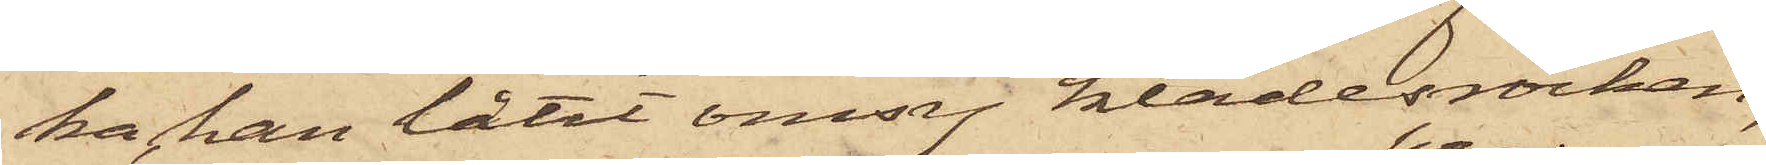ka han låtit omsy klädesrocken,
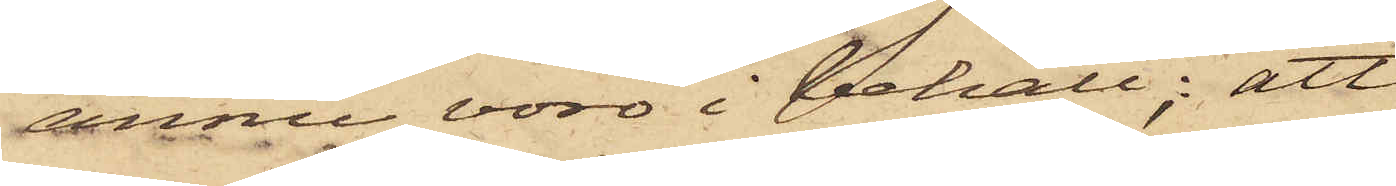ännu voro i behåll; att
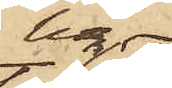han
